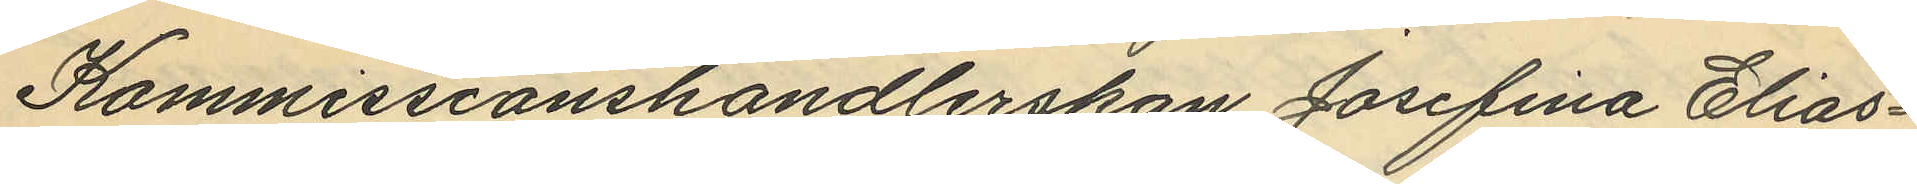Kommissionshandlerskan Josefina Elias¬
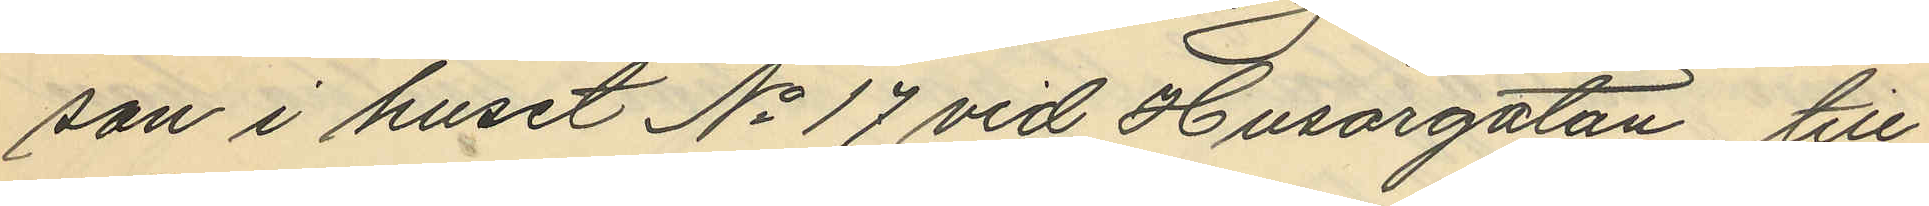son i huset No 17 vid Husargatan, till
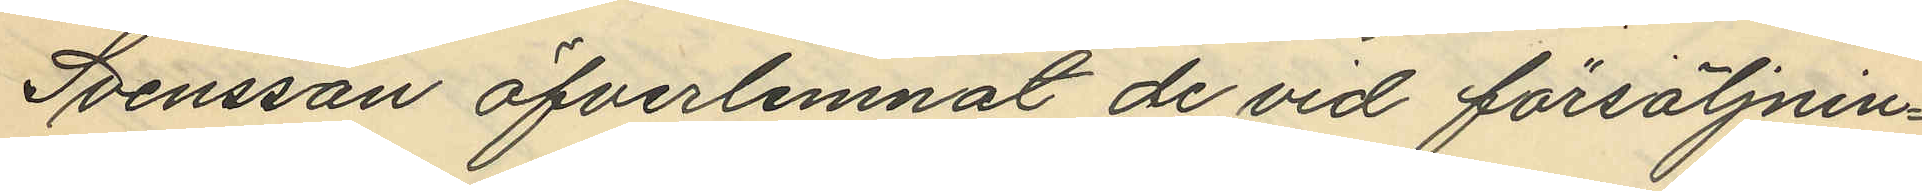Svensson öfverlemnat de vid försäljnin¬
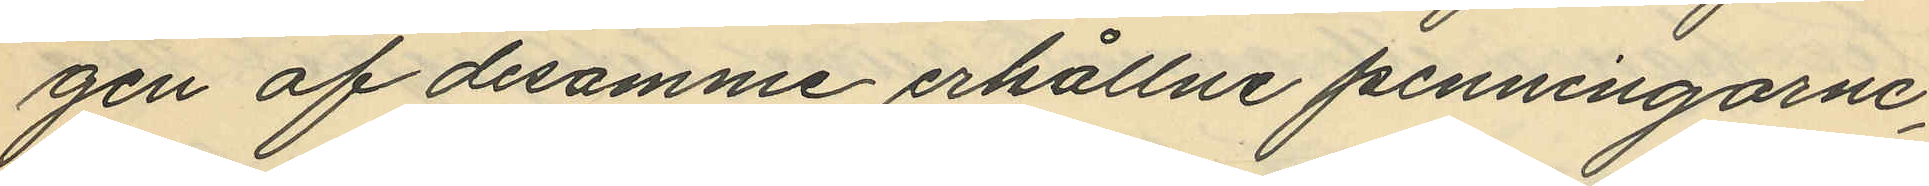gen af desamme erhållne penningarne,
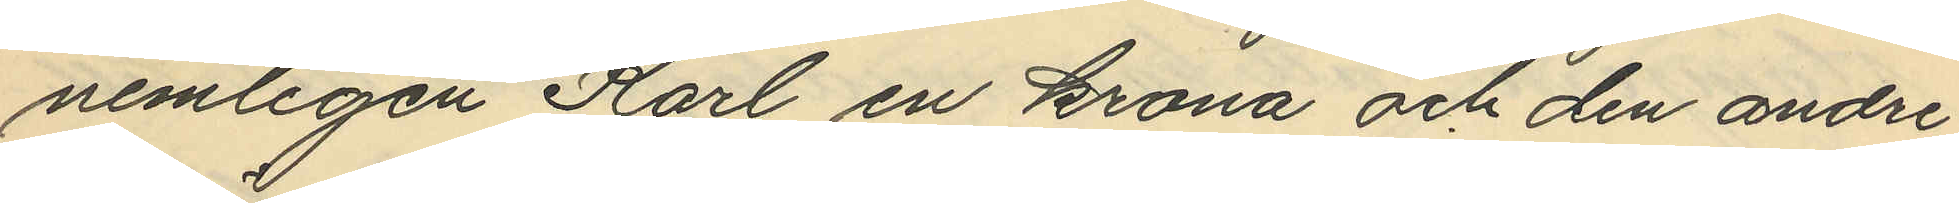nemligen Karl en krona och den andre
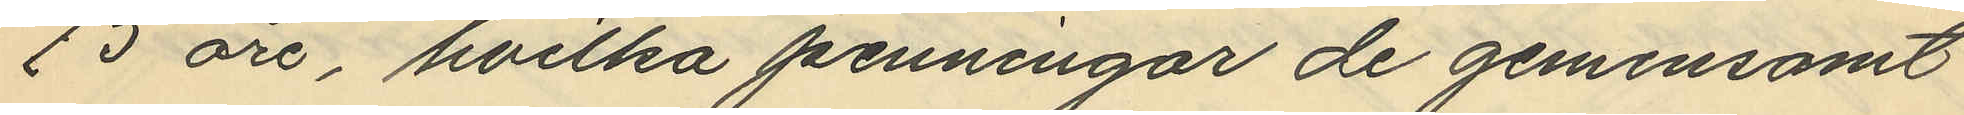75 öre, hvilka penningar de gemensamt
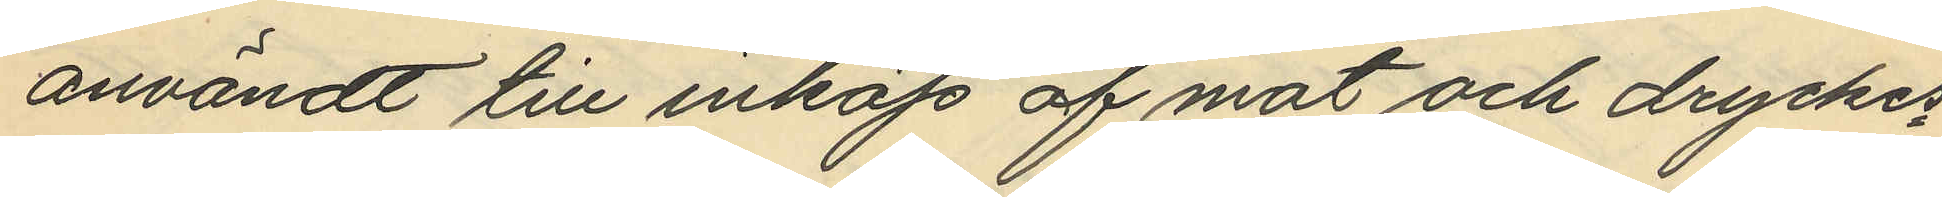användt till inköp af mat och dryckes¬
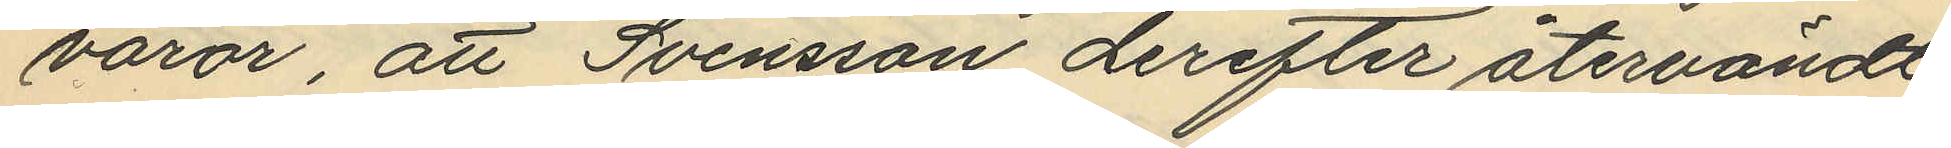varor, att Svensson derefter återvändt
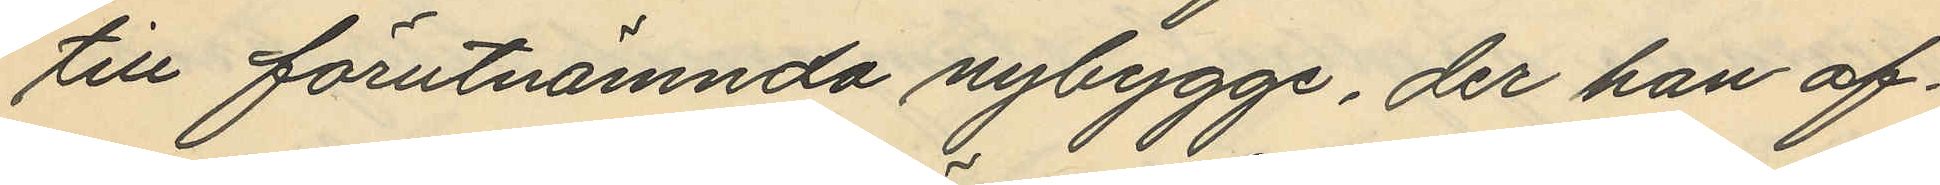till förutnämnda nybygge, der han af¬
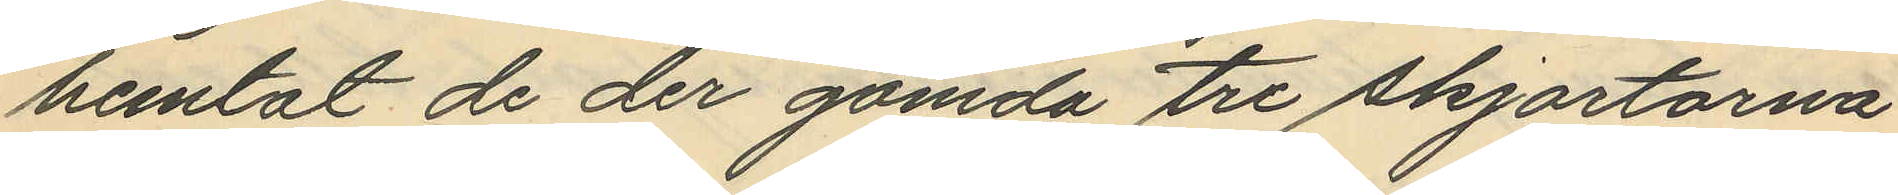hemtat de der gömda tre skjortorna
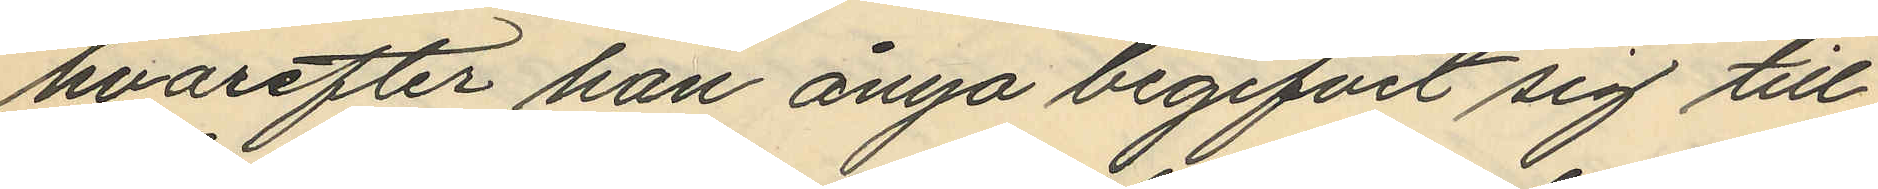hvarefter han ånyo begifvit sig till
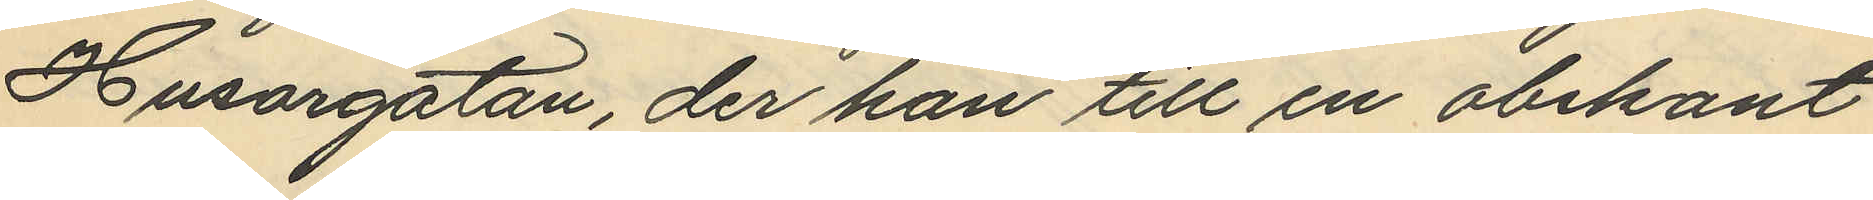Husargatan, der han till en obekant
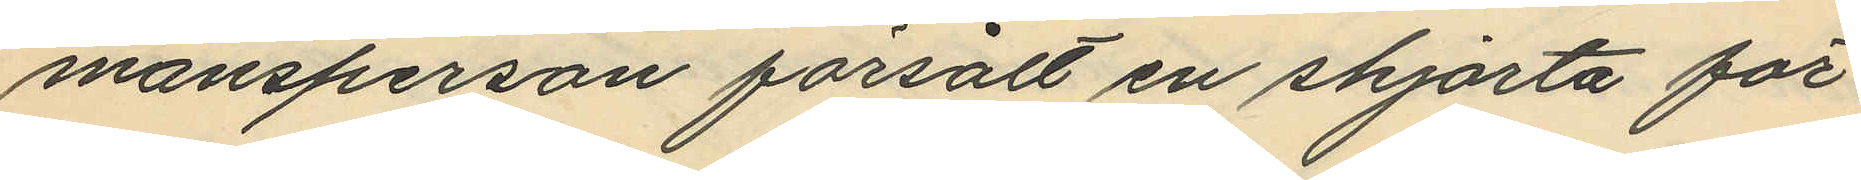mansperson försålt en skjorta för
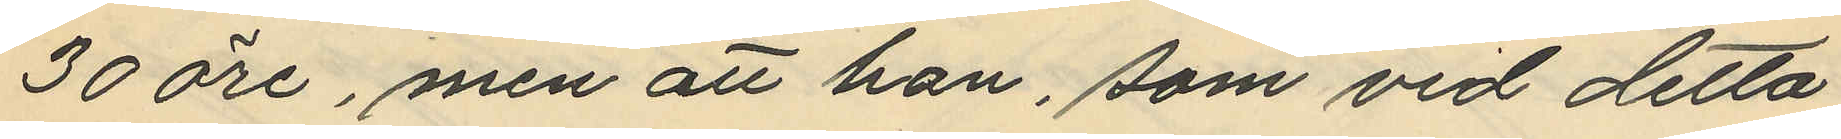30 öre, men att han, som vid detta
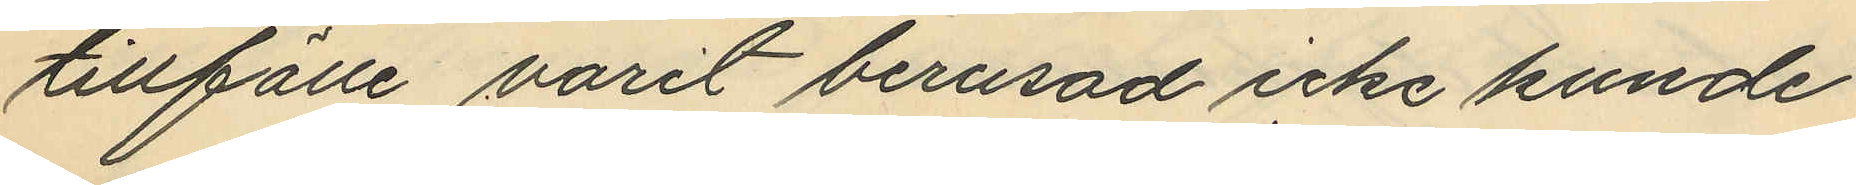tillfälle varit berusad icke kunde
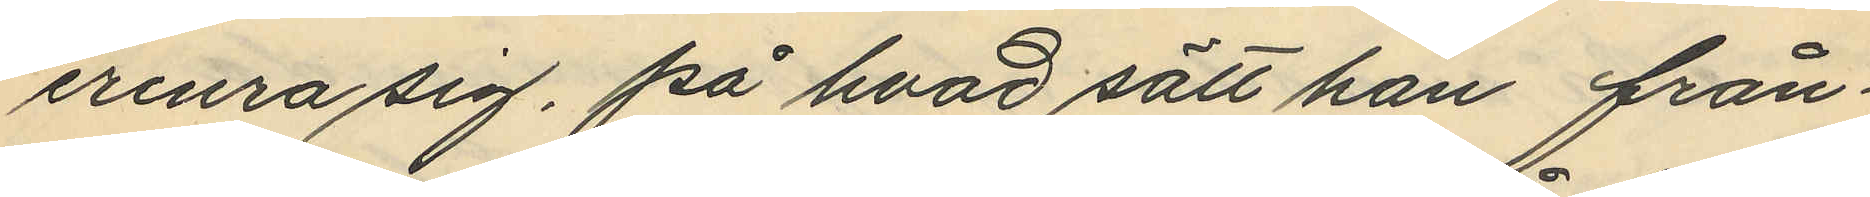erinra sig, på hvad sätt han från¬
